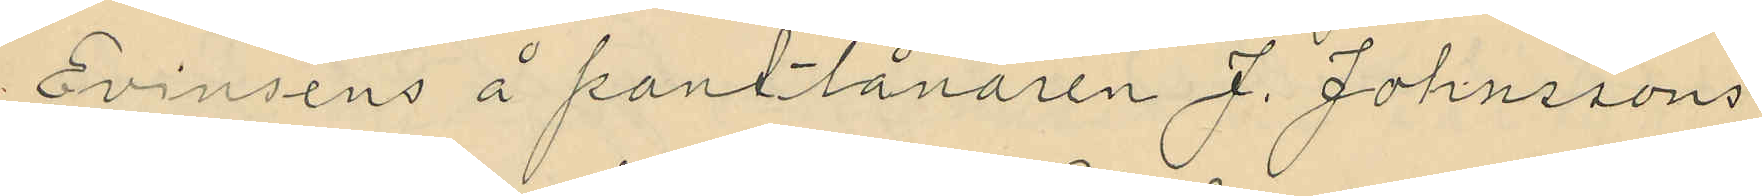Evinsens å pantlånaren J. Johnssons
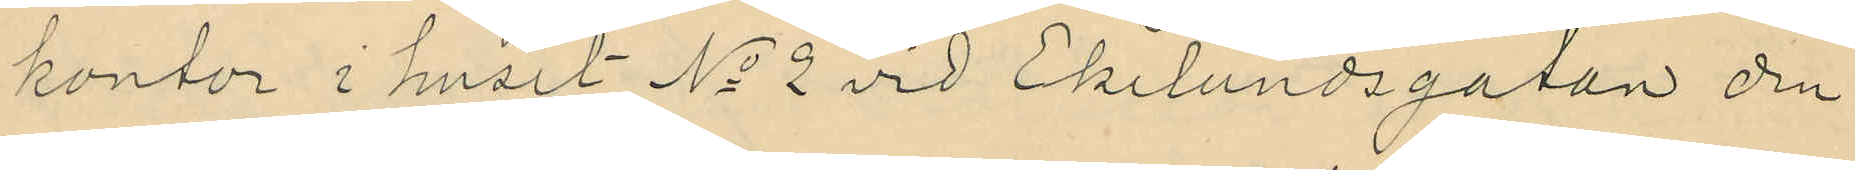kontor i huset No 2 vid Ekelundsgatan den
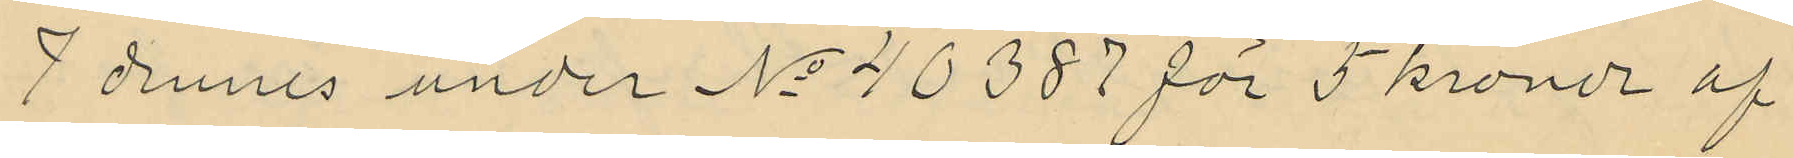7 dennes under No 40387 för 5 kronor af
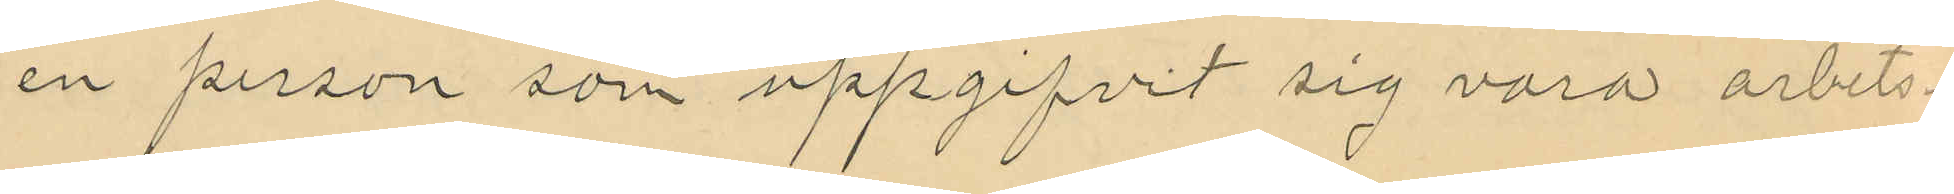en person som uppgifvit sig vara arbets¬
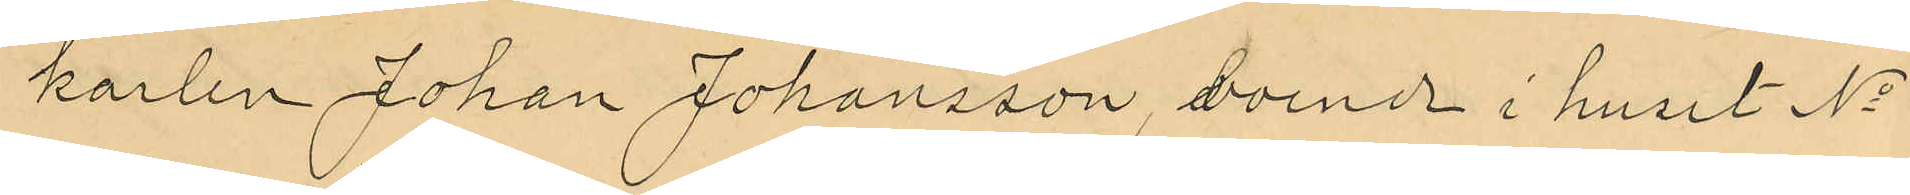karlen Johan Johansson, boend i huset No
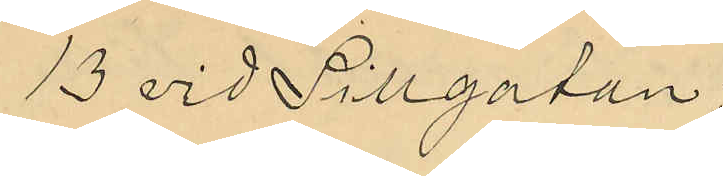13 vid Sillgatan.
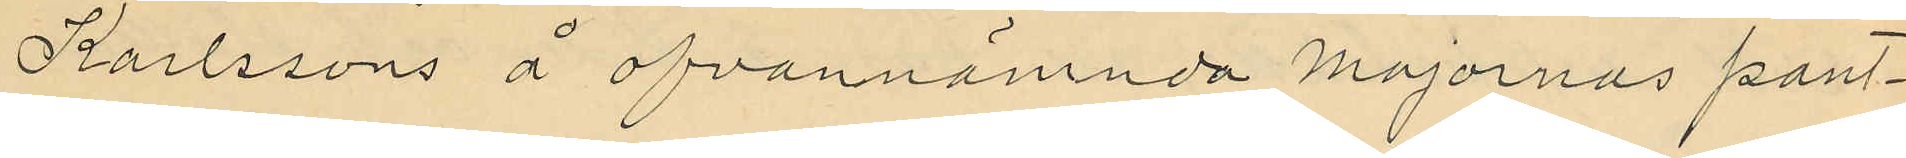Karlssons å ofvannämnda Majornas pant¬
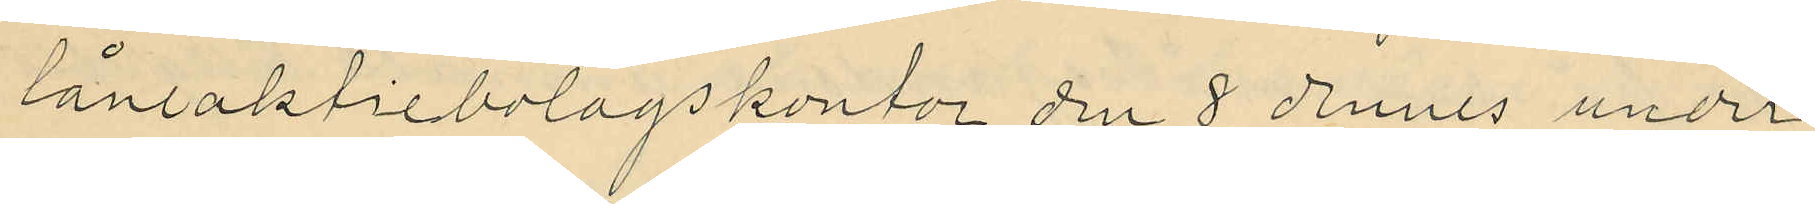lånaktiebolagskontor den 8 dennes under
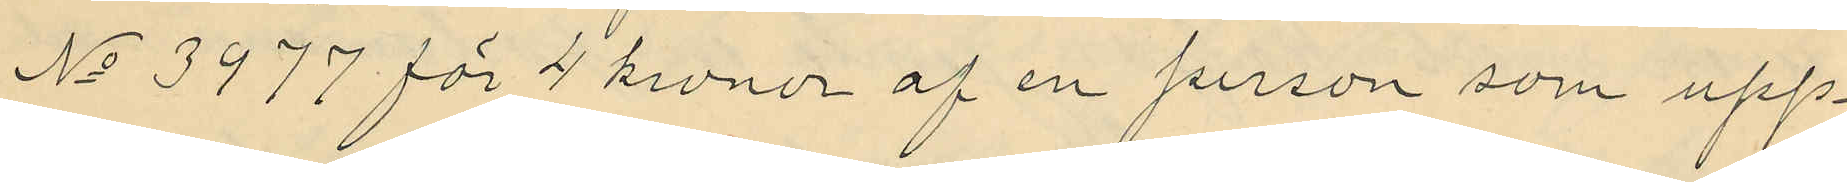No 3977 för 4 kronor af en person som upp¬
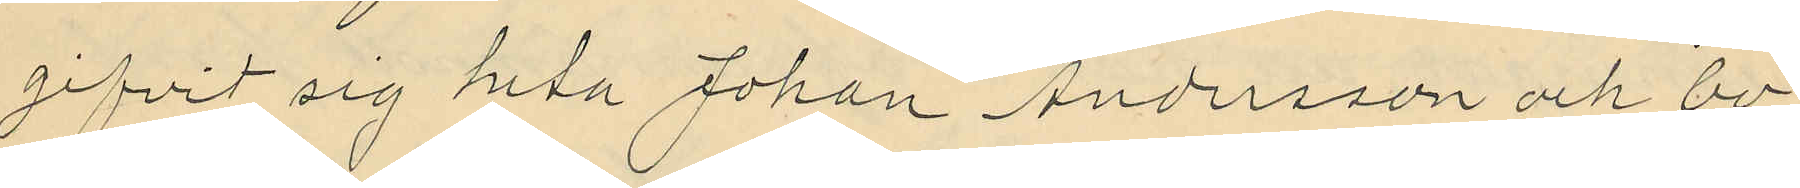gifvit sig heta Johan Andersson och bo¬
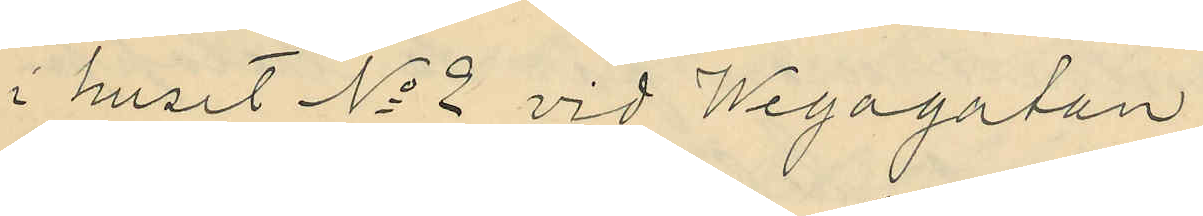i huset No 2 vid Wegagatan;
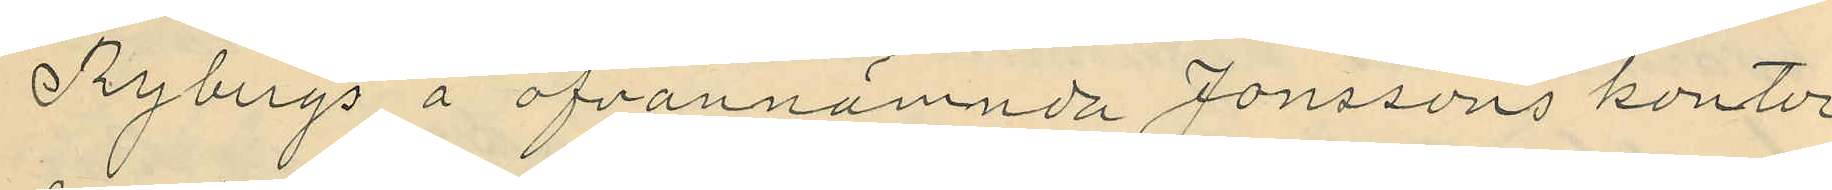Tybergs å ofvannämnda Jonssons kontor
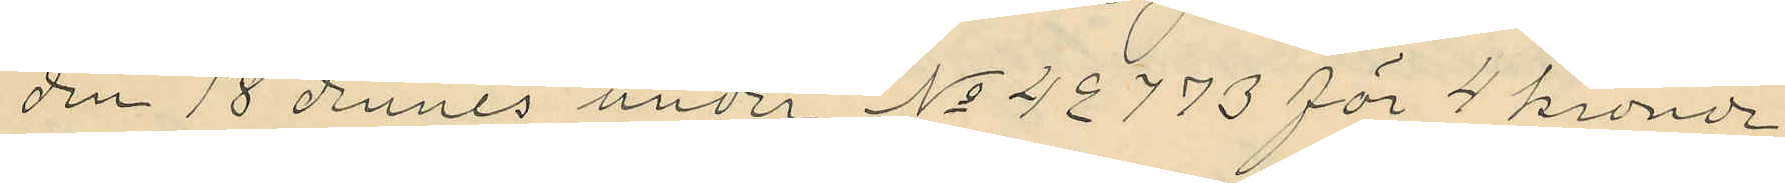den 18 dennes under No 42773 för 4 kronor
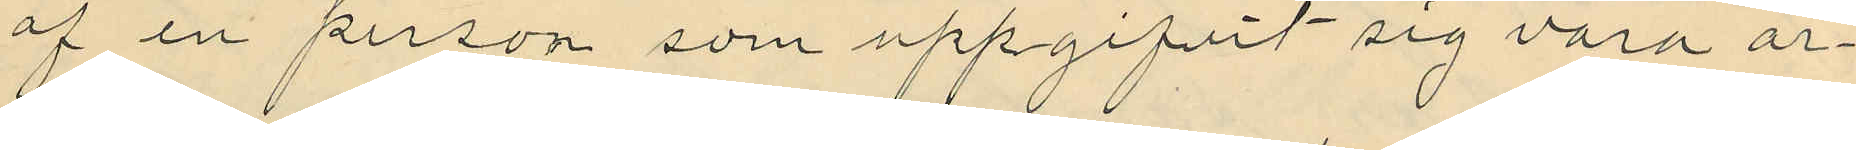af en person som uppgifvit sig vara ar¬
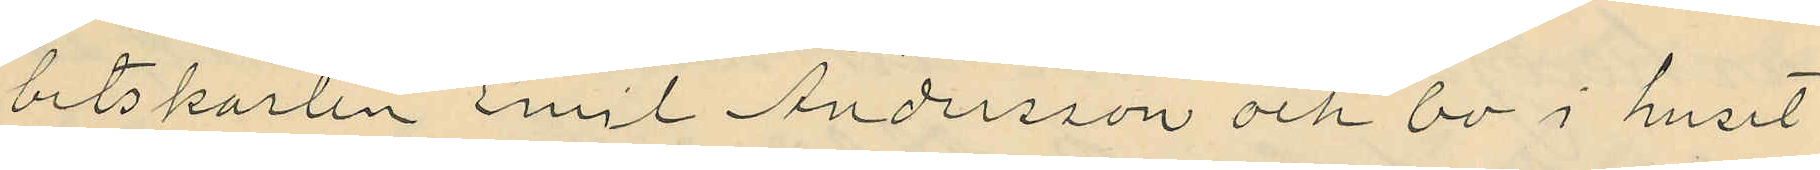betskarlen Emil Andersson och bo i huset
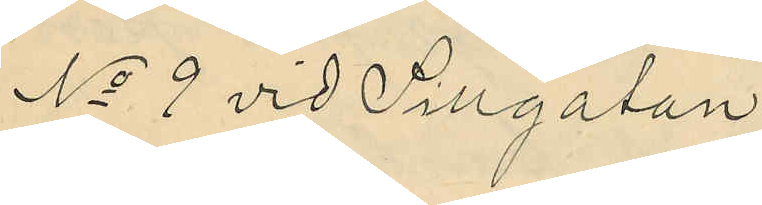No 9 vid Sillgatan;
